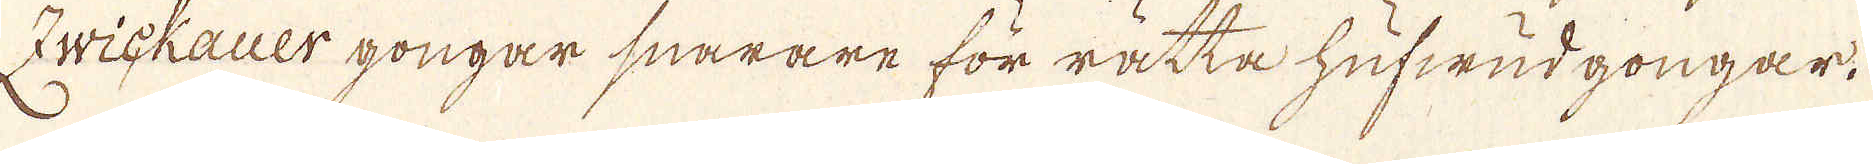Zwickauer gongar snarare för rätta hufwudgongar.
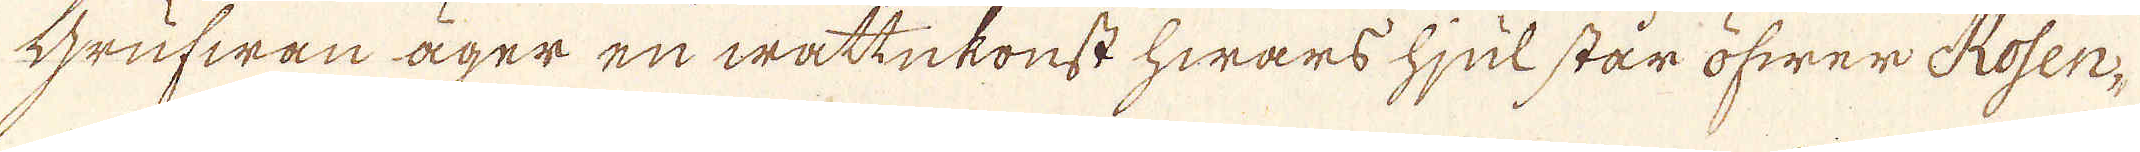Grufwan äger en wattukonst hwars hjul står öfwer Rosen-
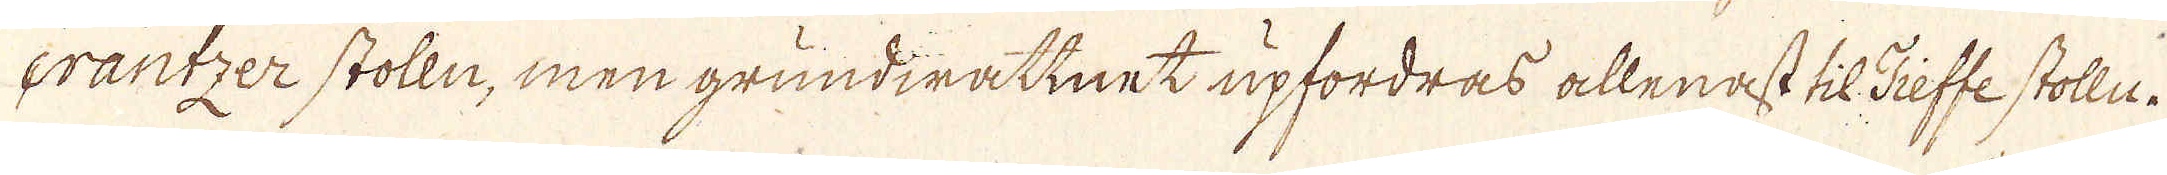crantzer stolln, men grundirattnet upfordras allenast til Tieffe stolle.
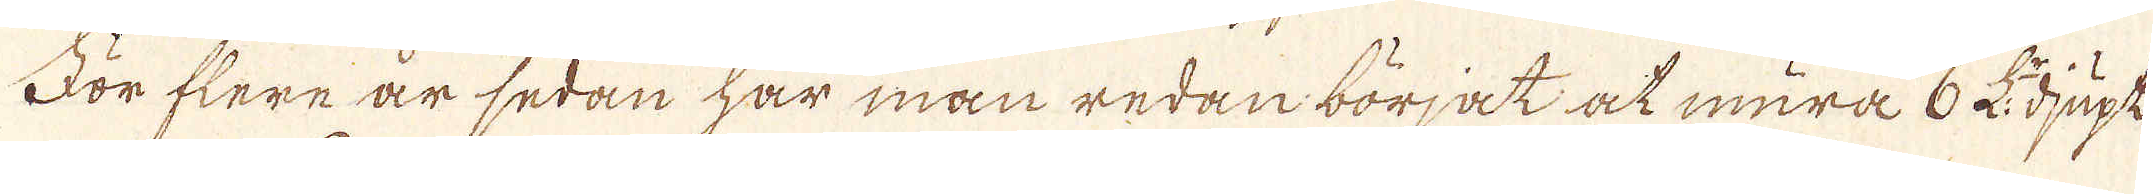För flere år sedan har man redan börjat at mura 6 L:r djupt
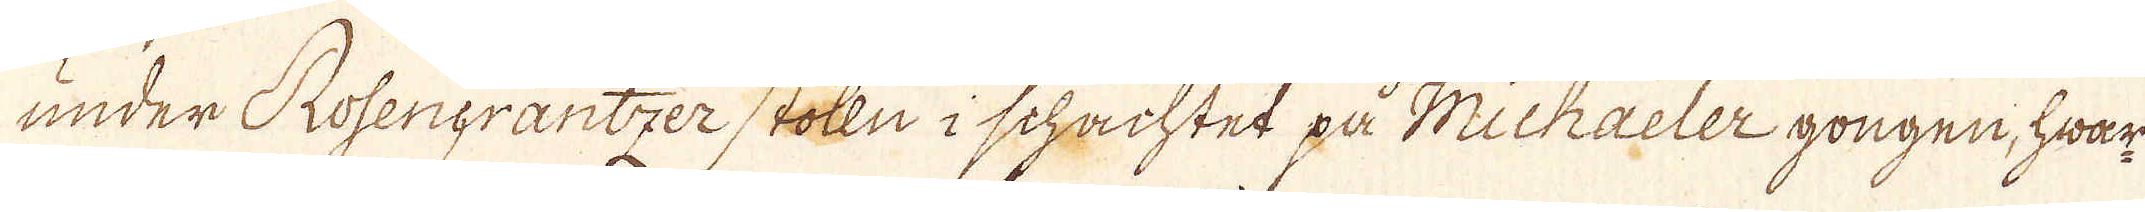under Rosengrantzer stolln i schachtet på Michaeler gongen, hwar
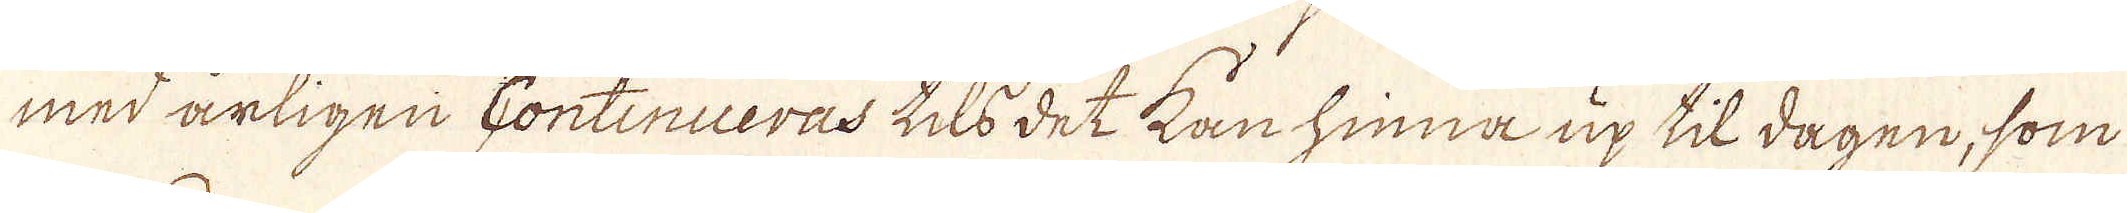med årligen Continueras tils det kan hinna up til dagen, som
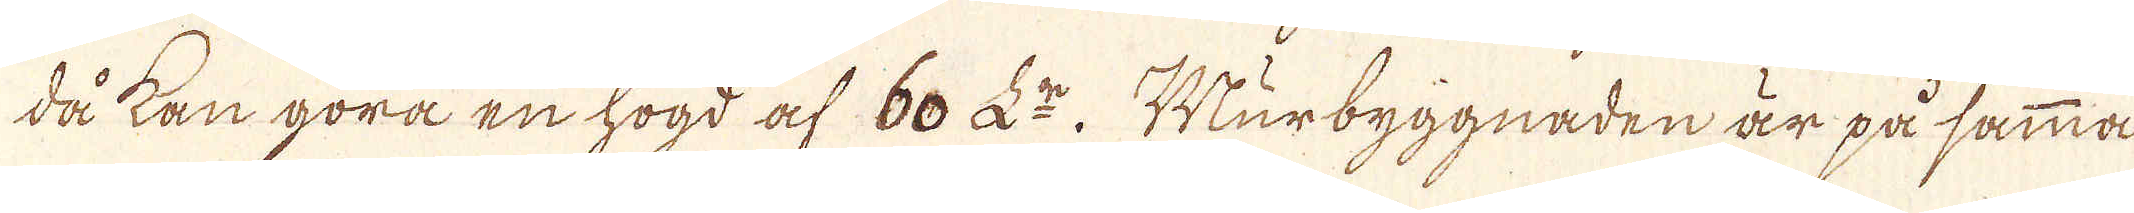då kan göra en högd af 60 L:r Murbyggnaden är på samma
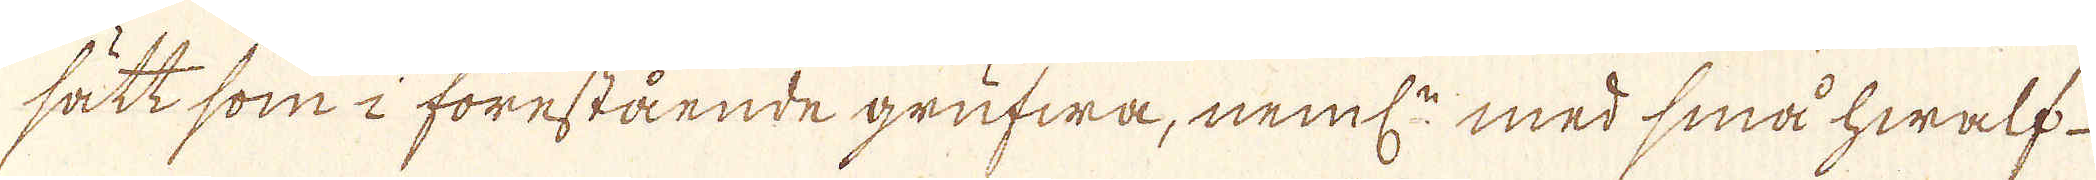sätt som i förestående grufwa, neml: med små hwalf-
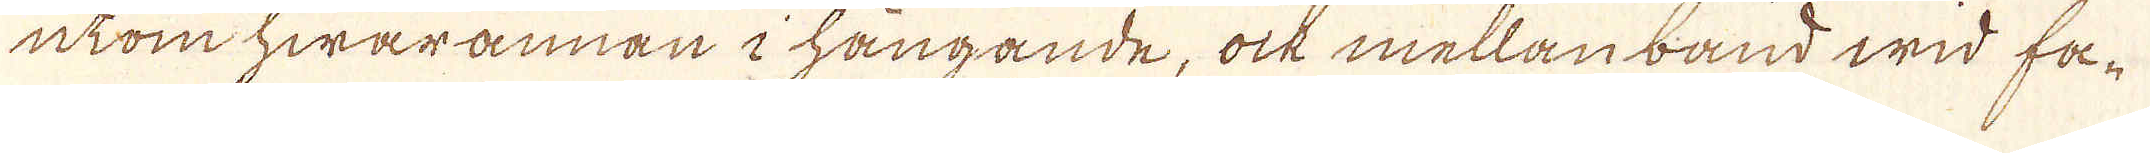utom hwarannan i hängande, ock mellan band wid fa-
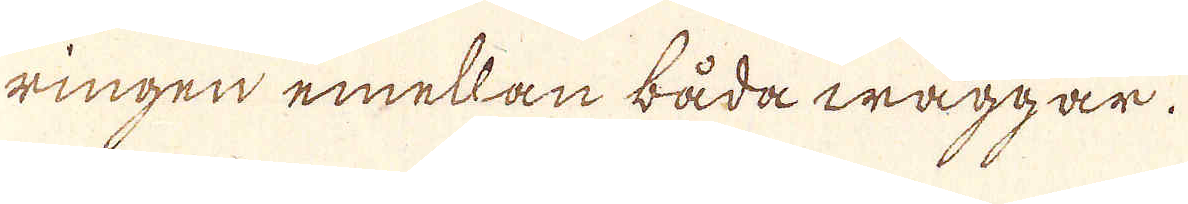ringen emellan båda wäggar.
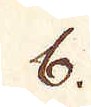b.
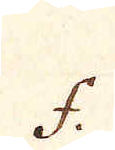f.
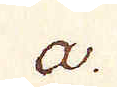a.
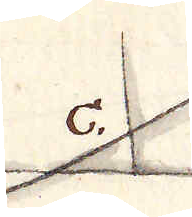c.
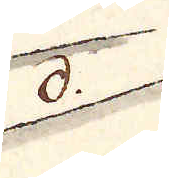d.
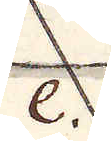e.
